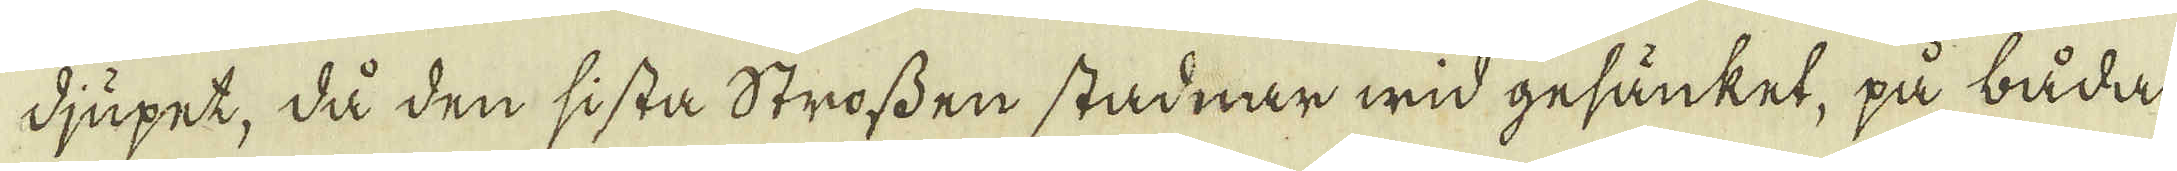djupet, då den sista Strossen stadnar wid gesänket, på båda
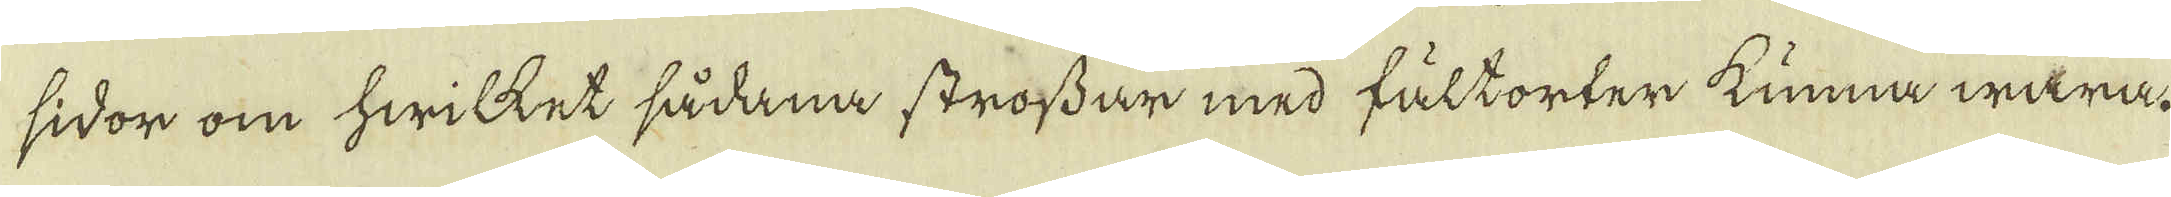sidor om hwilket sådana strossar med fältorter kunna wara.
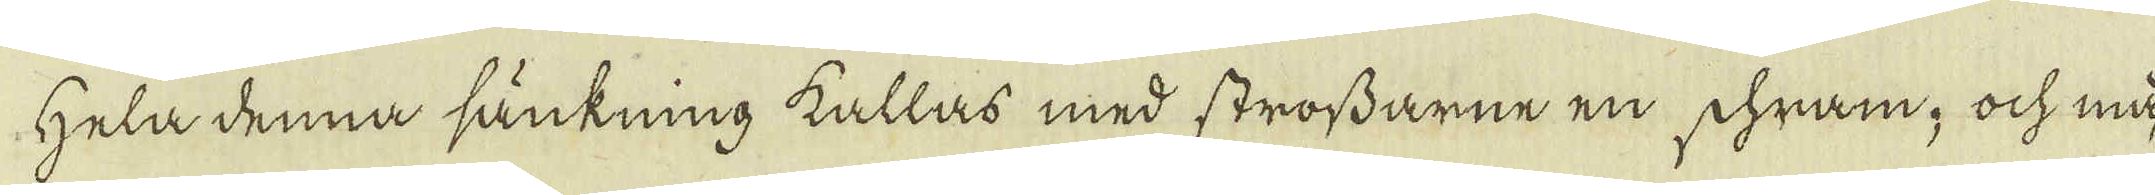Hela denna sänkning kallas med strossarne en schram, ock må-
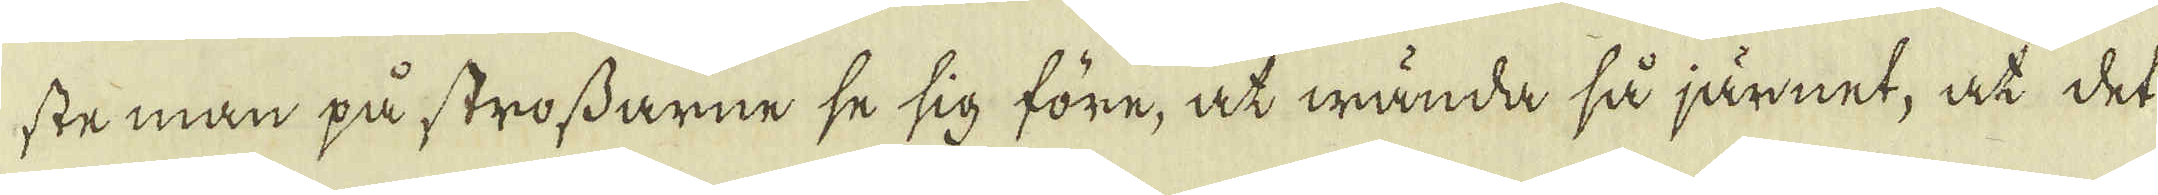ste man på strossarne se sig före, at wända så järnet, at det
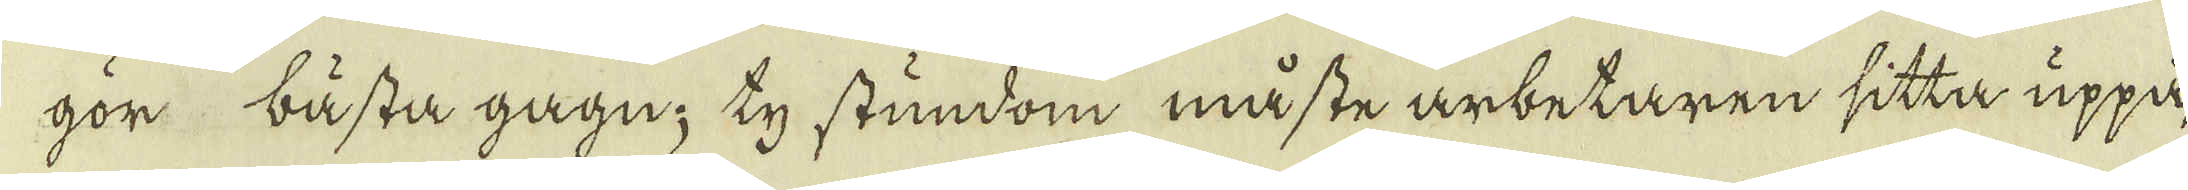gör bästa gagn; ty stundom måste arbetaren sitta uppå,
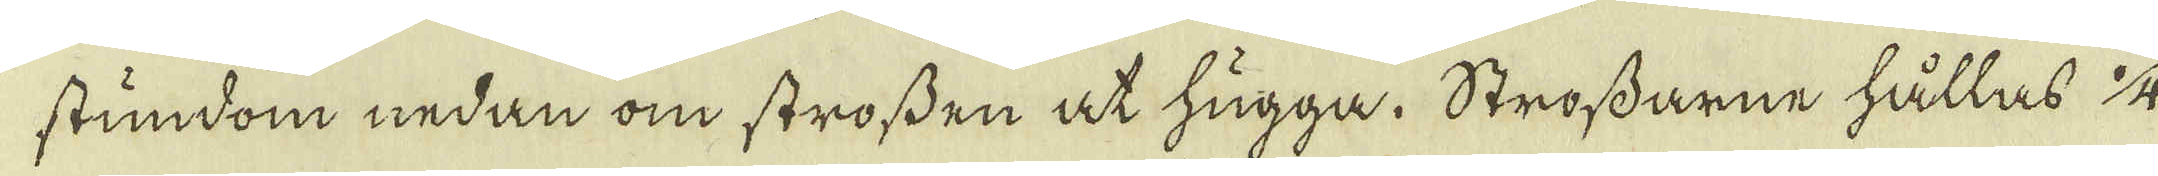stundom nedan om strossen at hugga. Strossarne hållas 1/4
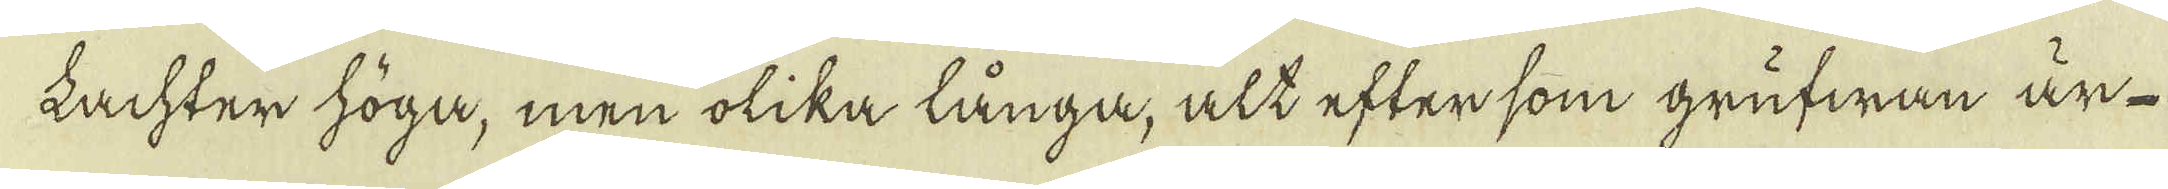Lachter höga, men olika långa, alt efter som grufwan är-
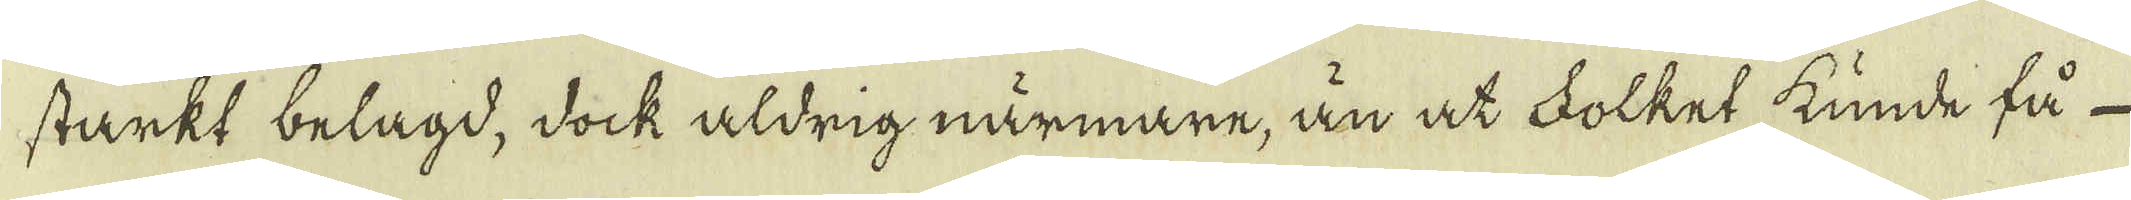starkt belagd, dock aldrig närmare, än at Folket kunde få
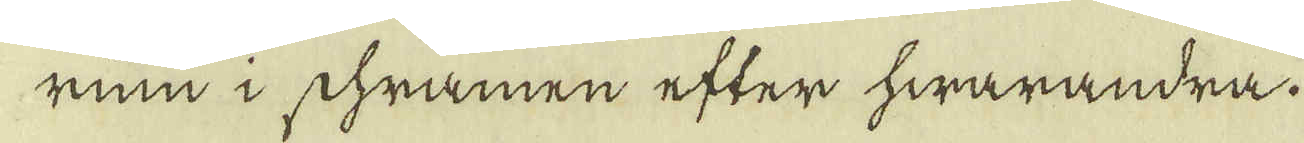rum i shramen efter hwarandra.
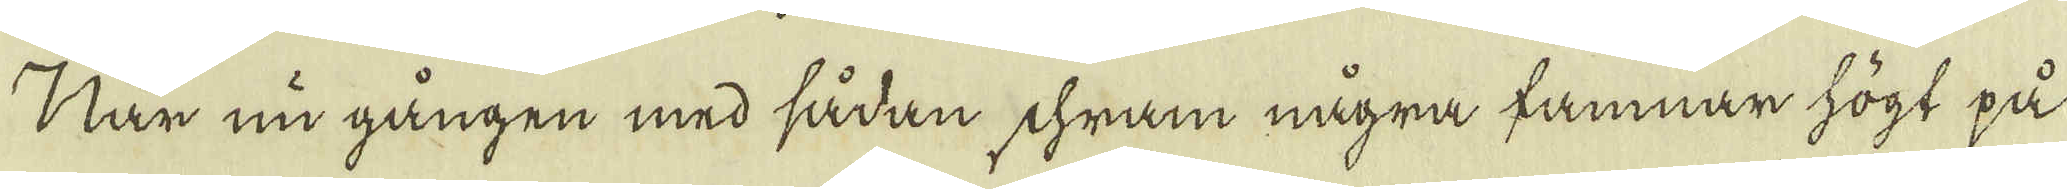När nu gången med sådan chram några famnar högt på
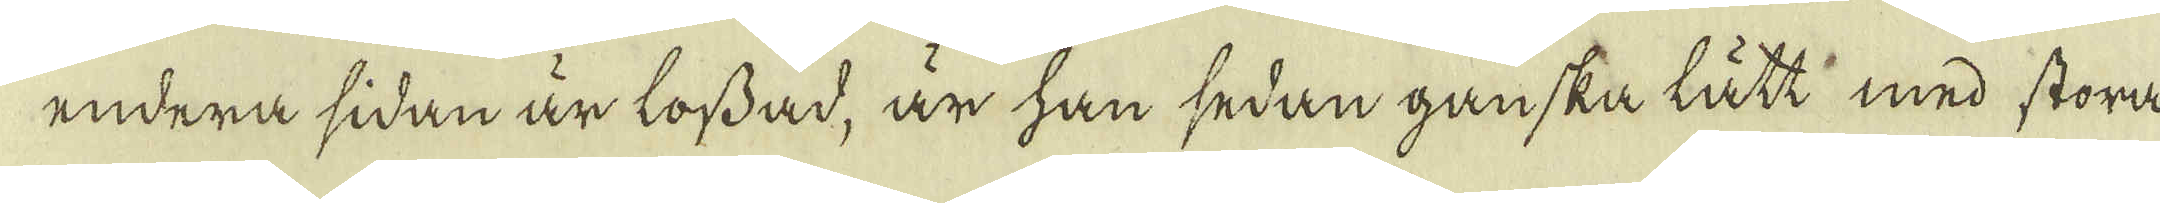endera sidan är lossad, är han sedan ganska lätt med stora
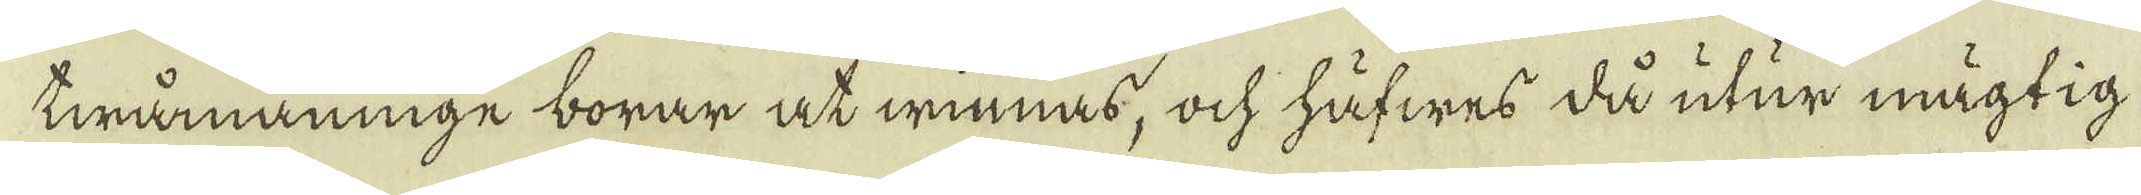twämannige borar at winnas, och häfwes då utur mägtig
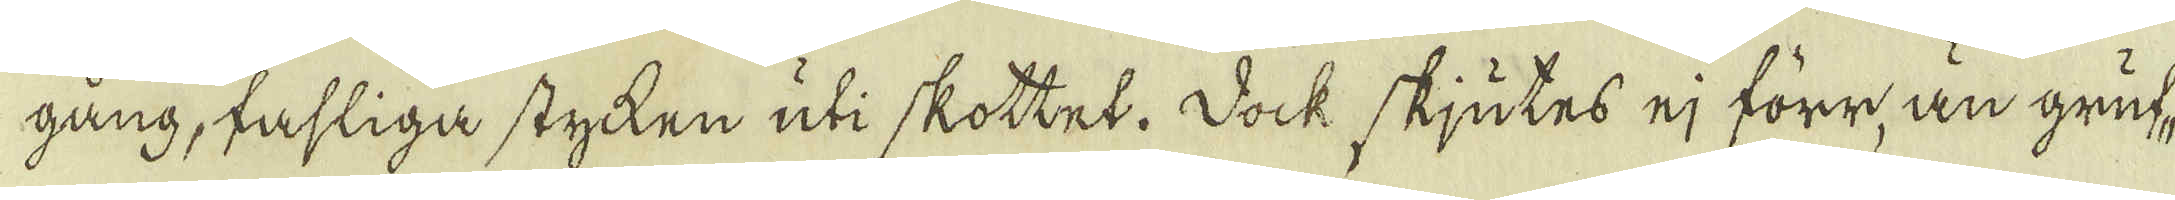gång, tahliga stycken uti skottet. Dock skjutes ej förr, än gruf-
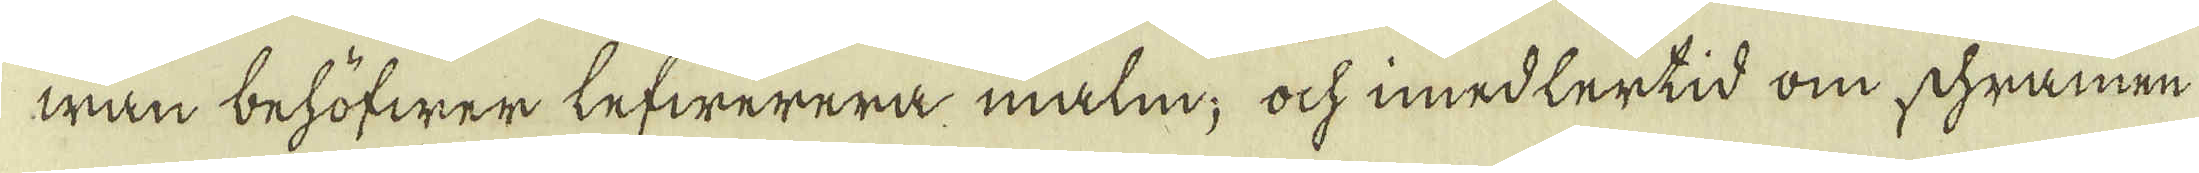wan behöfwer lefwerera malm; ock imedlertid om schramen
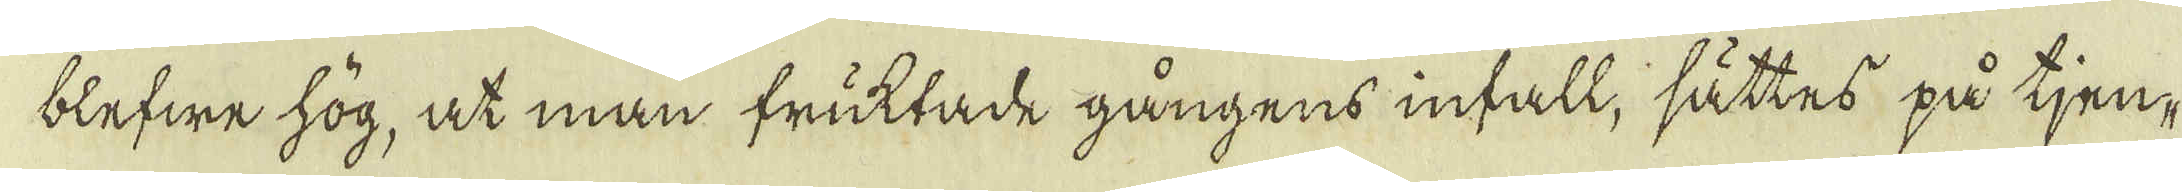blefwe hög, at man fruktade gångens infall, sättes på tjen-
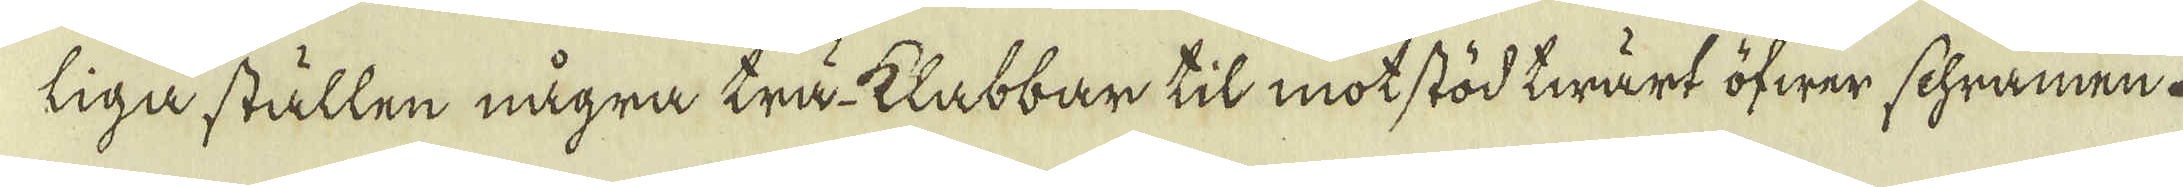liga ställen några trä-klabbar til motstöd twärt öfwer schramen.
